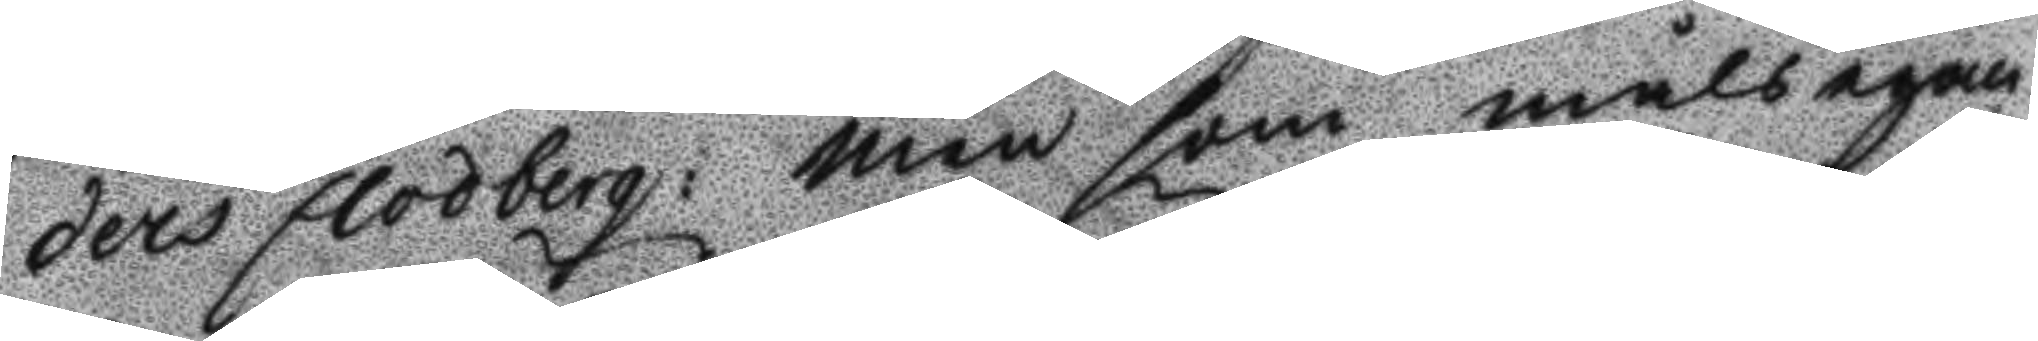ders Flodberg: Men som målsegan¬
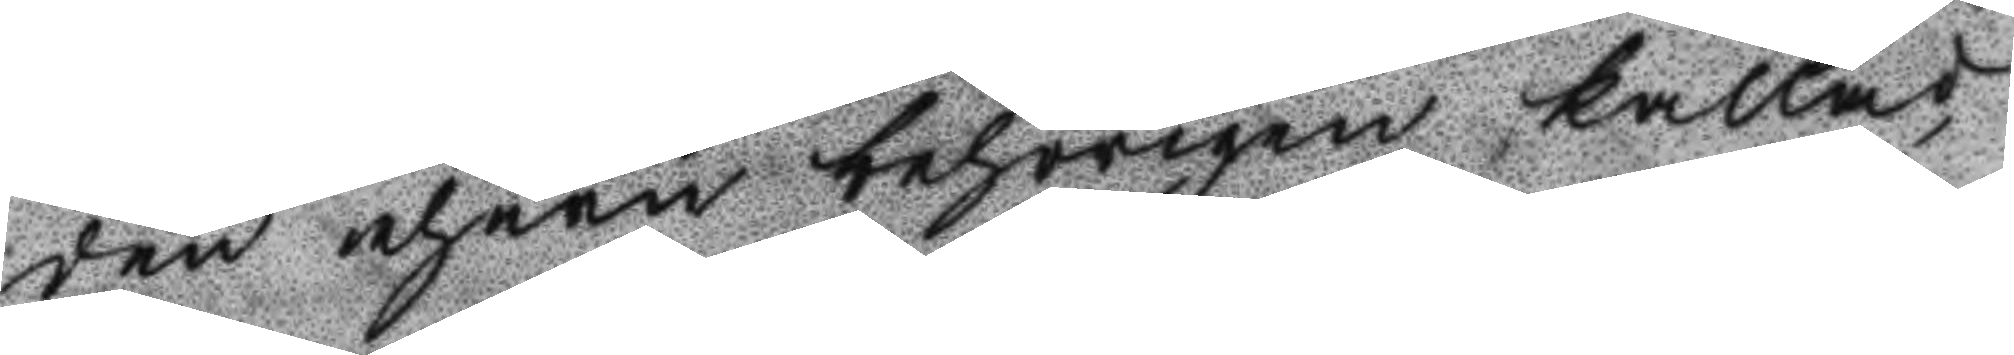den ehuru behörigen kallad,
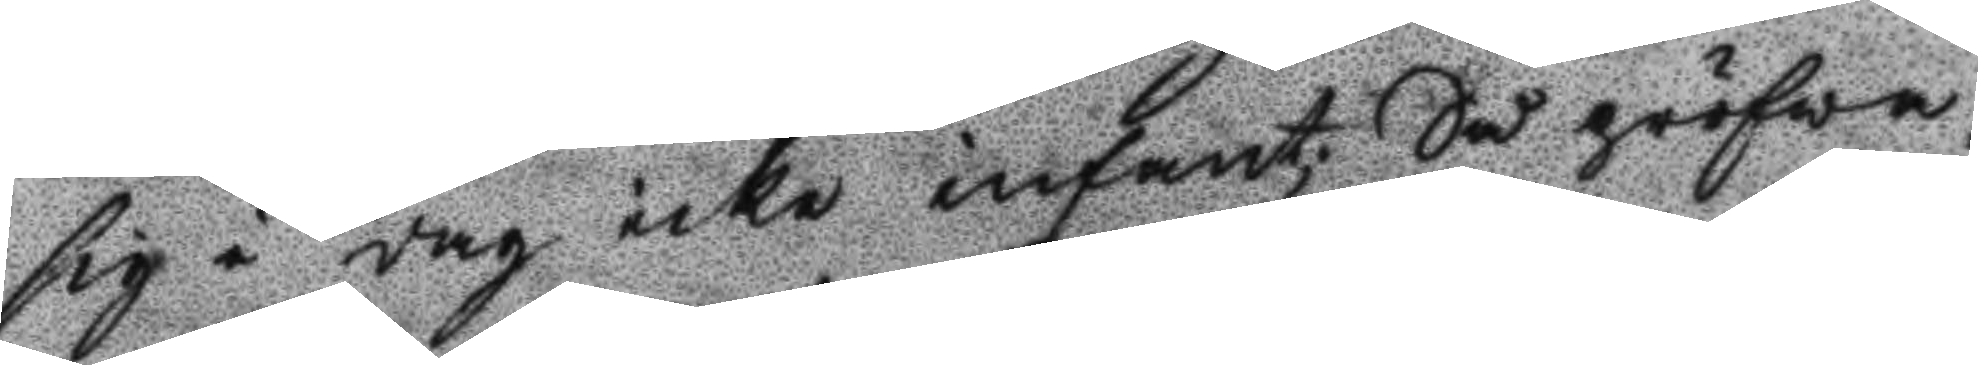sig i dag icke infant; Så pröfwa¬
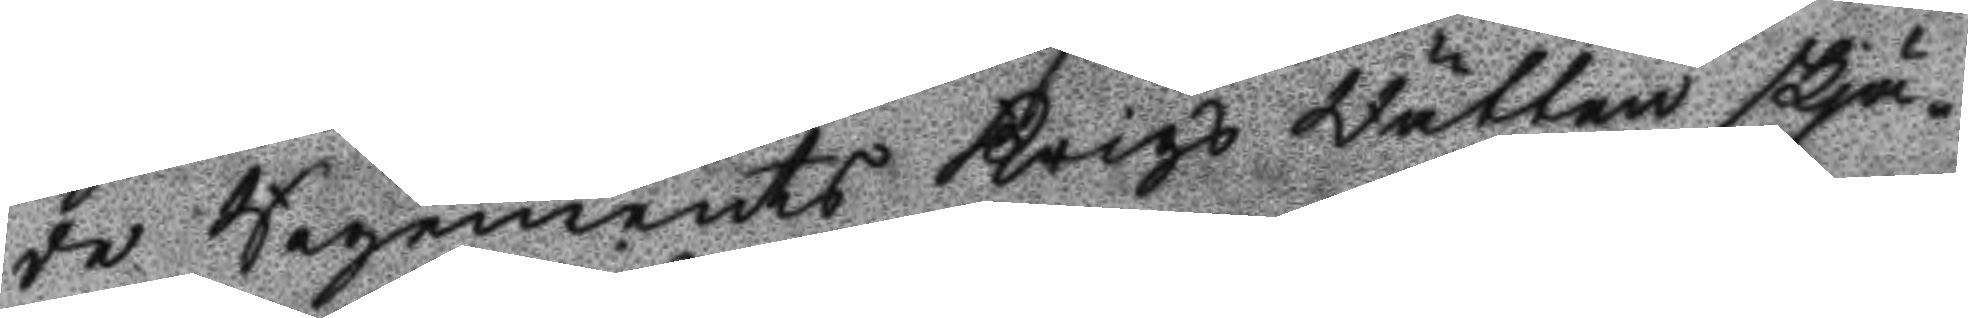de Regemnets Krigs Rätten skjä¬
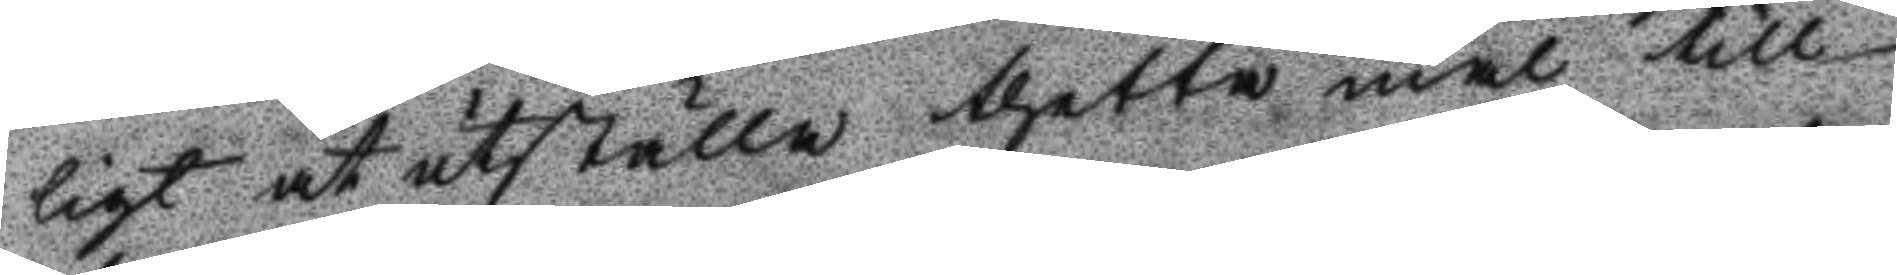ligt at utställa thetta mål till
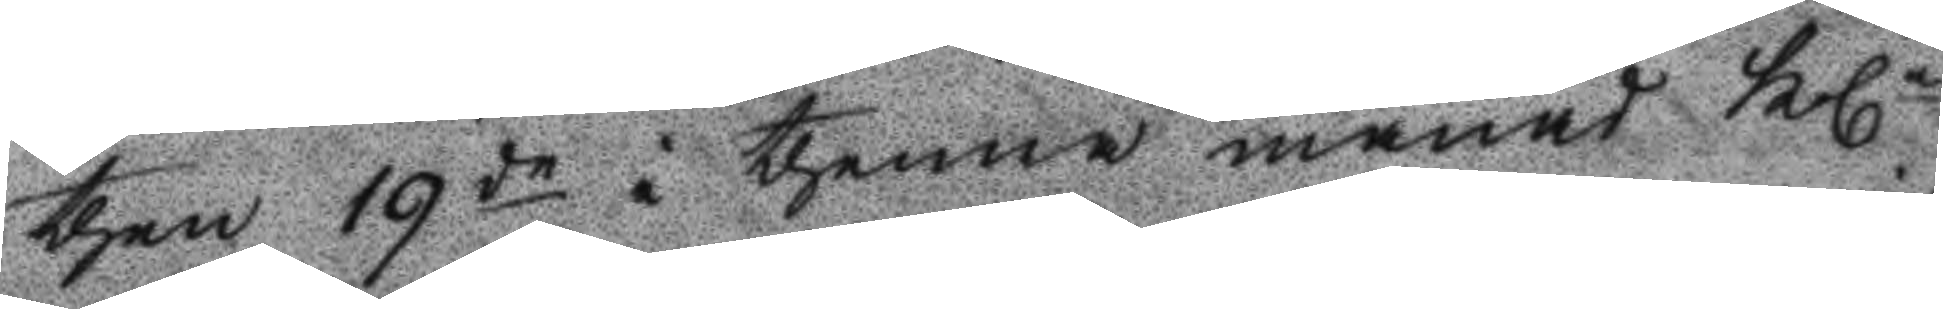then 19de i thenna månad Kln
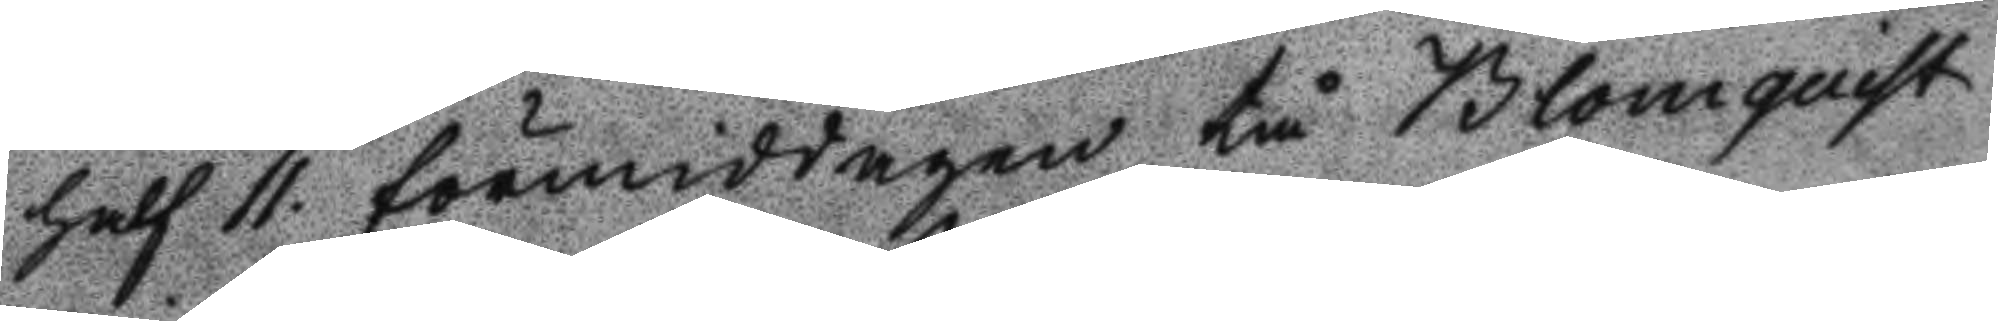half 11 förmiddagen tå Blomquist
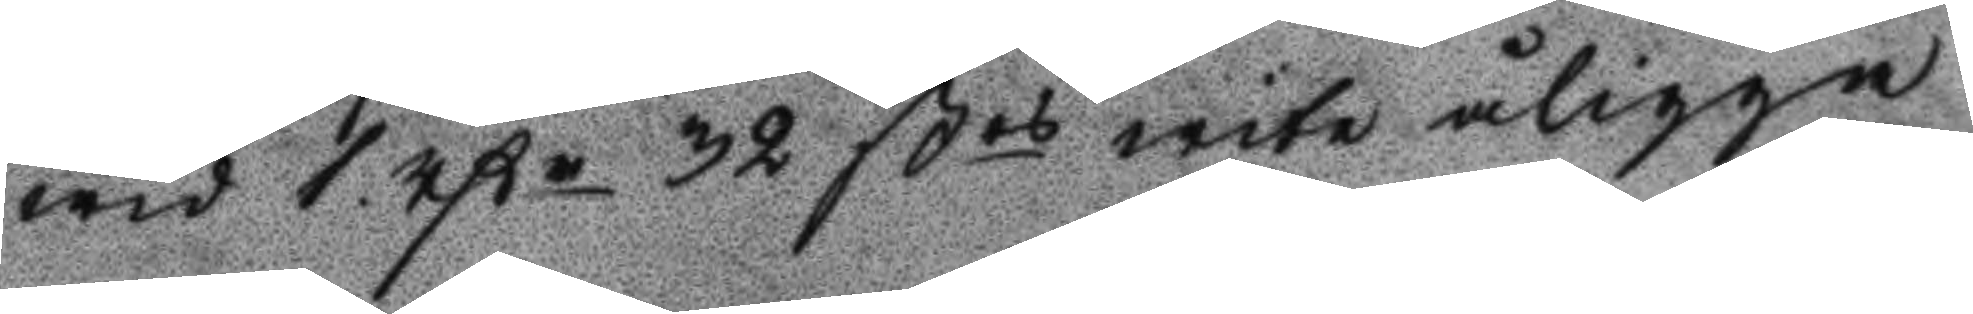wid 1 Rßr 32 ßrs wite åligga
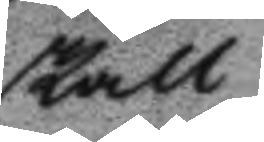skall
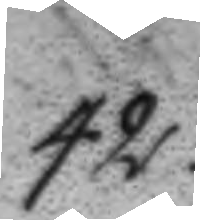42.
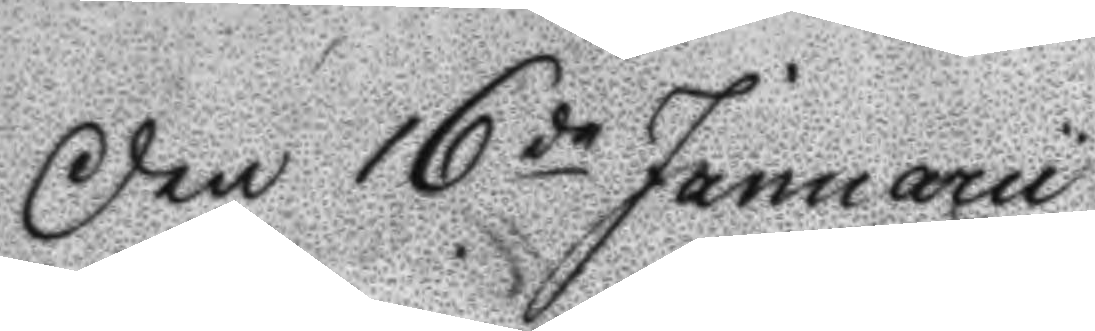Den 16de Januarii
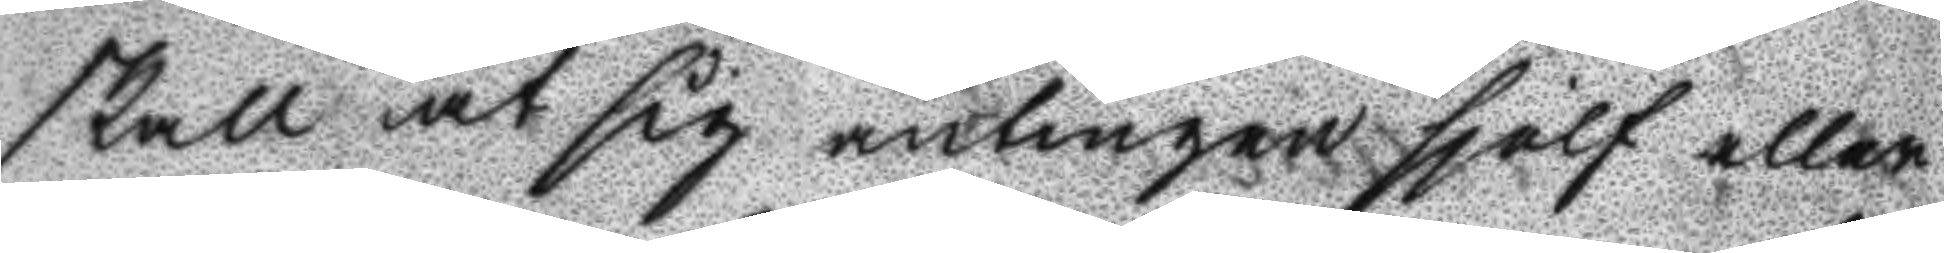skall at sig antingen själf eller
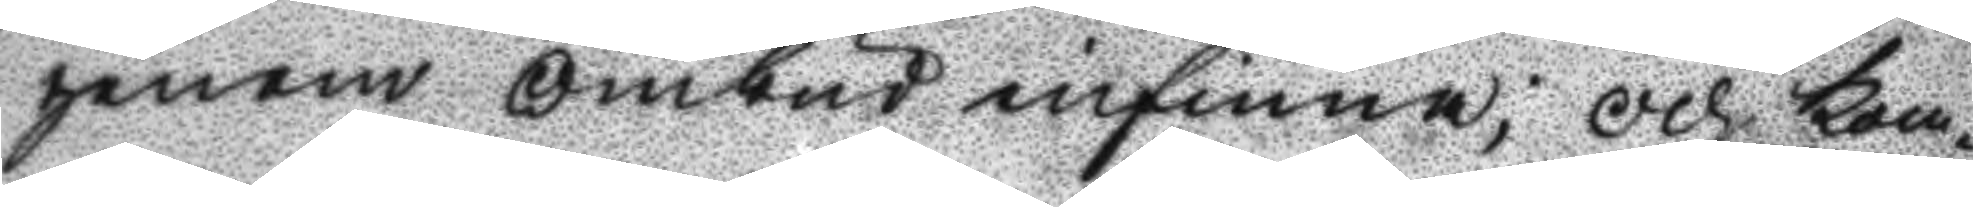genom ombud infinna; Och kom¬
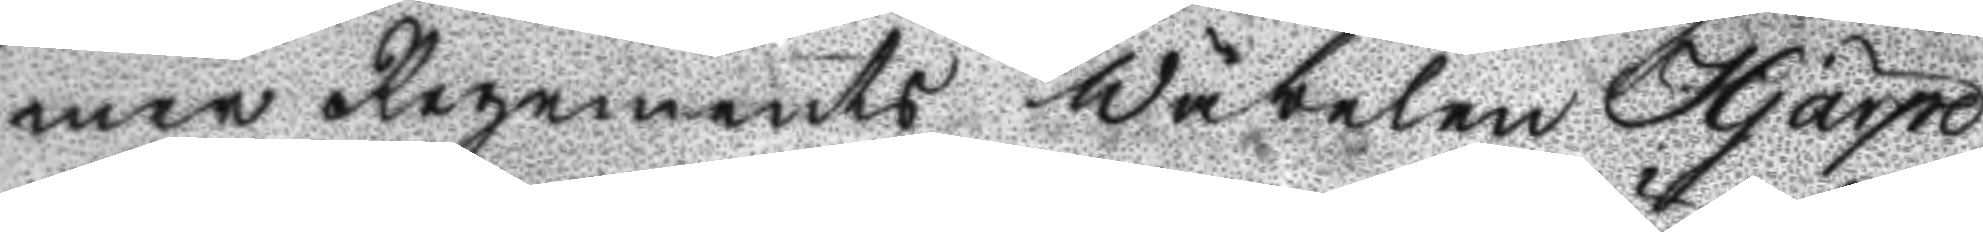mer Regements Wäbelen Hjärpe
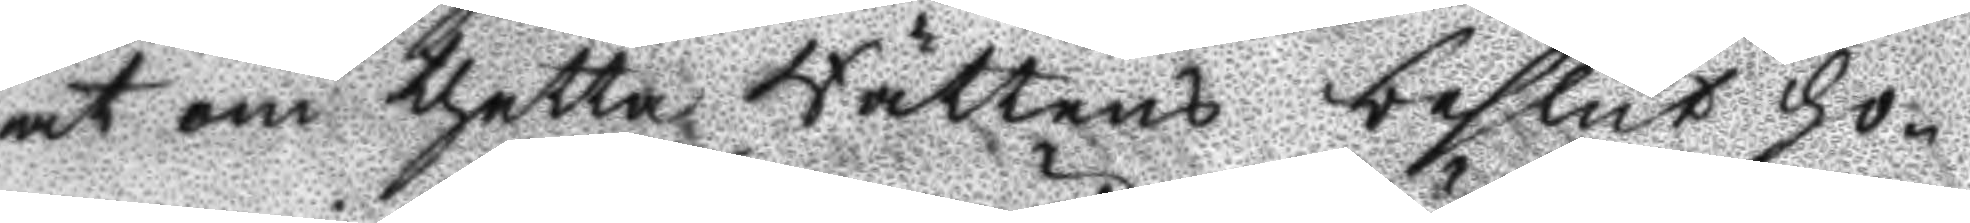at om thetta Rättens beslut ho¬
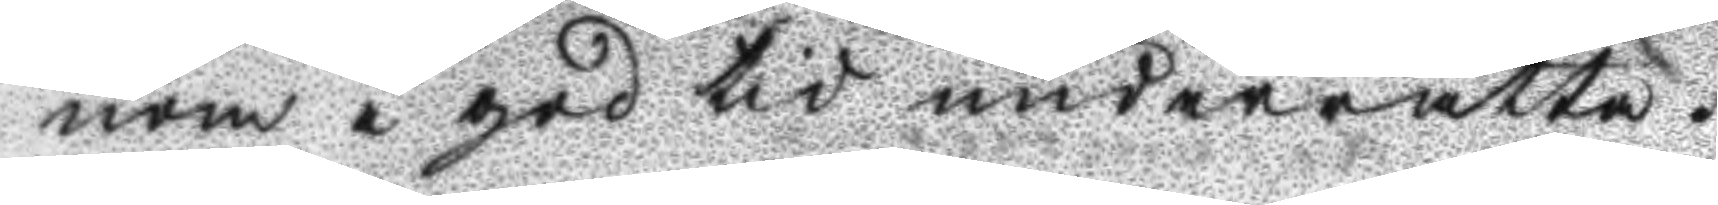nom i god tid underrätta.
